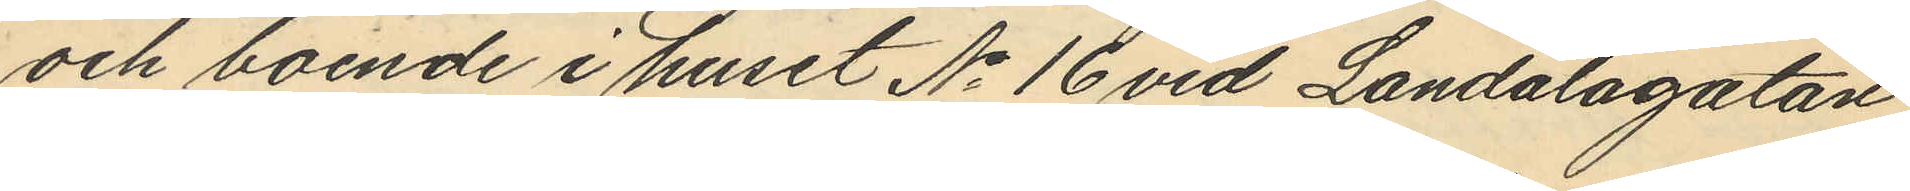och boende i huset No 16 vid Landalagatan
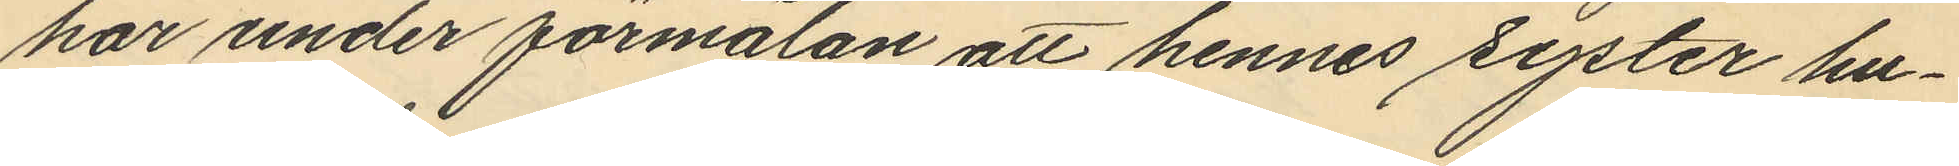har under förmälan att hennes syster hu¬
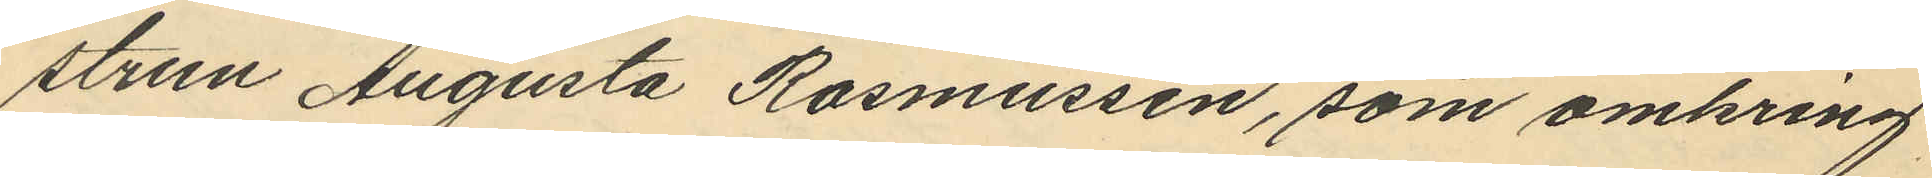strun Augusta Rasmussen, som omkring
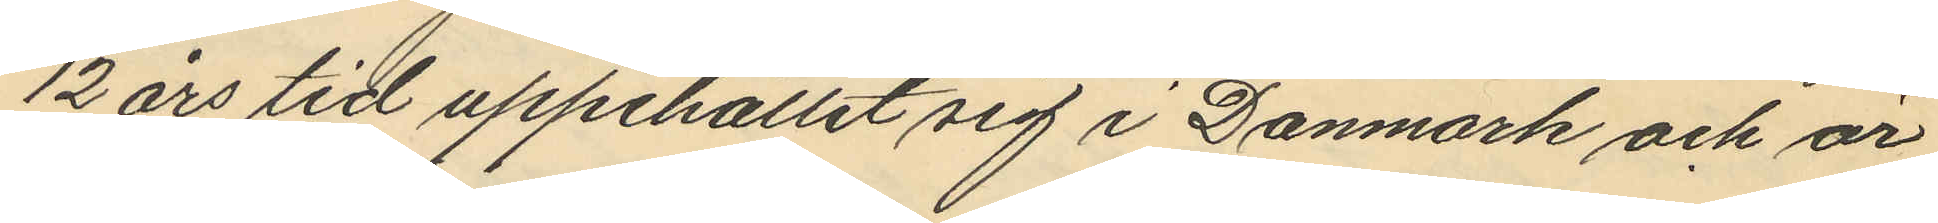12 års tid uppehållit sig i Danmark och är
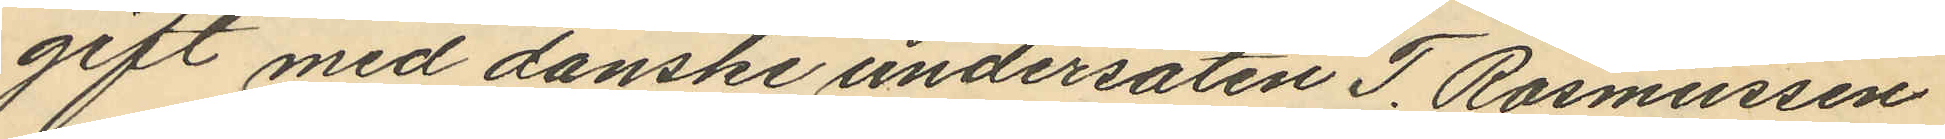gift med danske undersaten T. Rasmussen
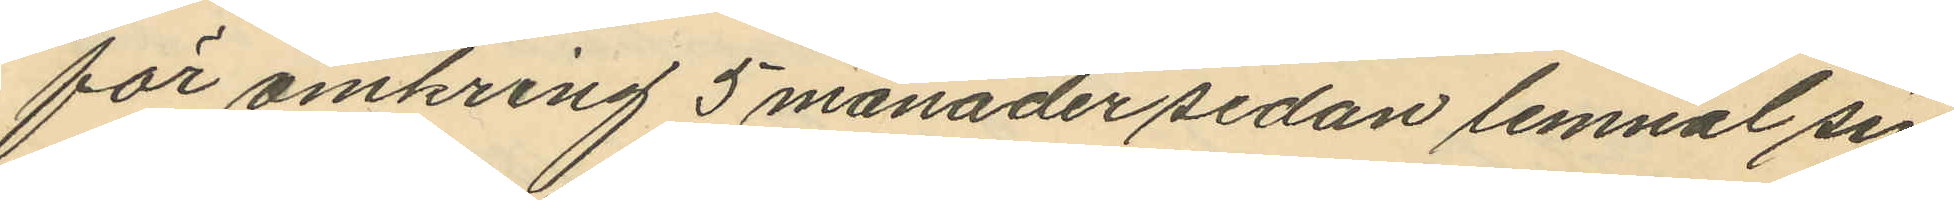för omkring 5 månader sedan lemnal sin
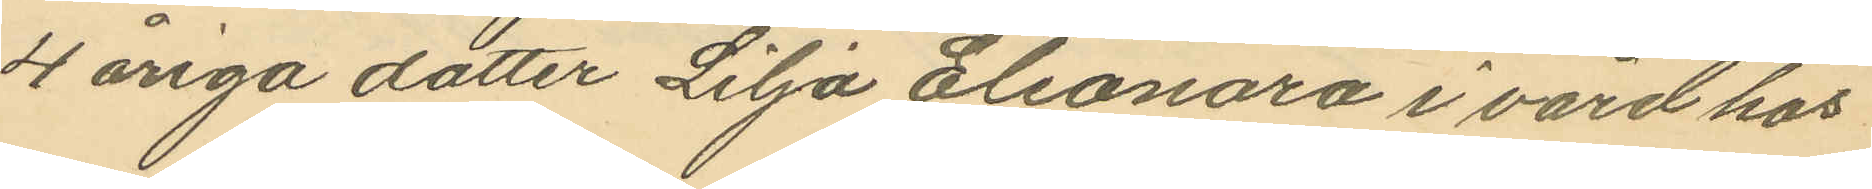4 åriga dotter Lilja Eleonora i vård hos
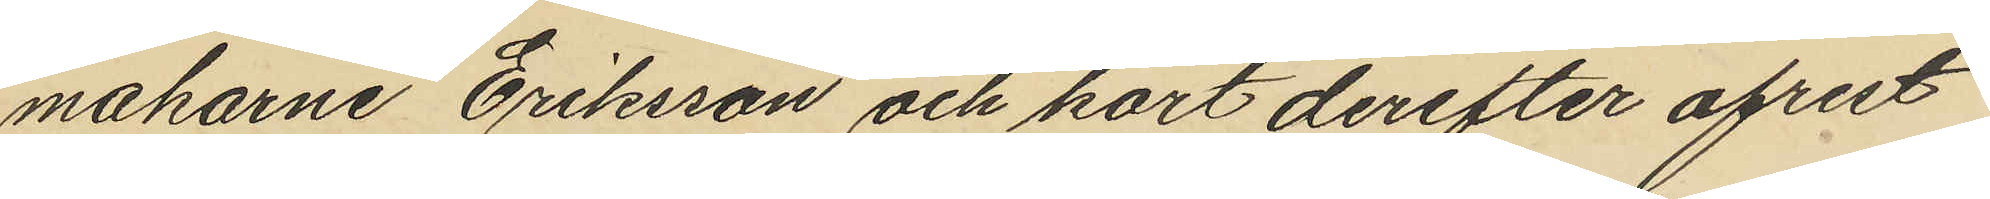makarne Eriksson och kort derefter afrest
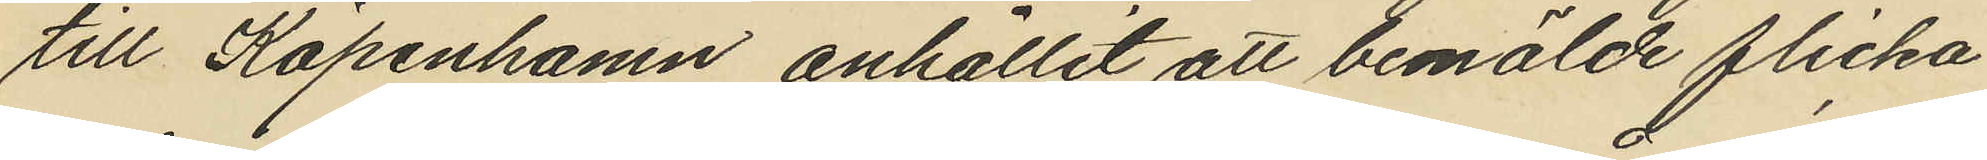till Köpenhamn, anhållit att bemälde flicka
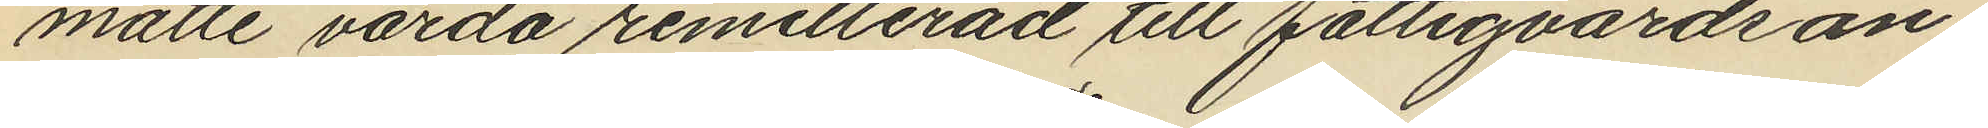måtte varda remitterad till fattigvårdsan¬
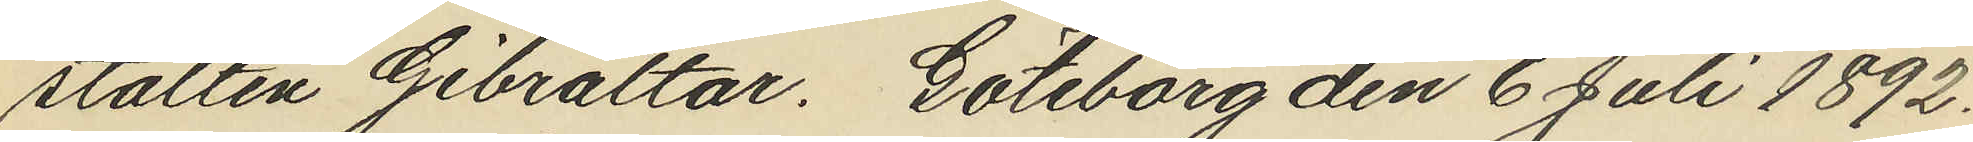stalten Gibraltar. Göteborg den 6 Juli 1892.
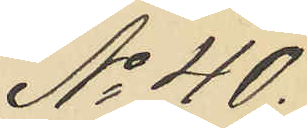No 40.
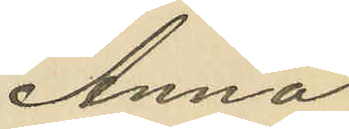Anna
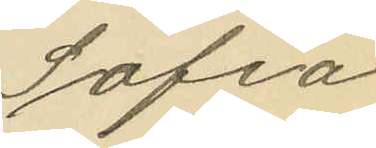Sofia
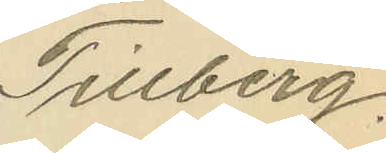Tillberg.
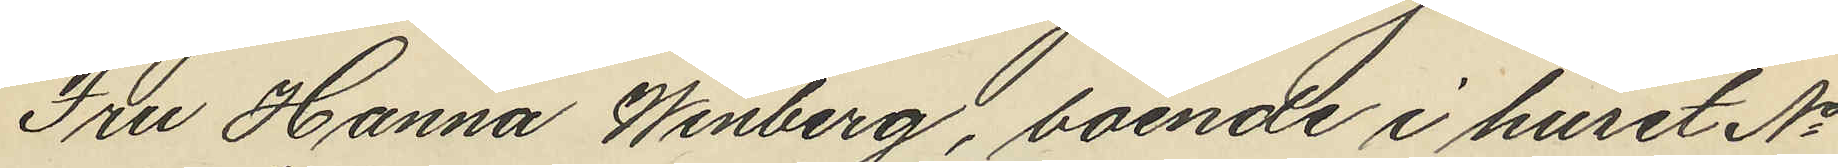Fru Hanna Winberg, boende i huset No
